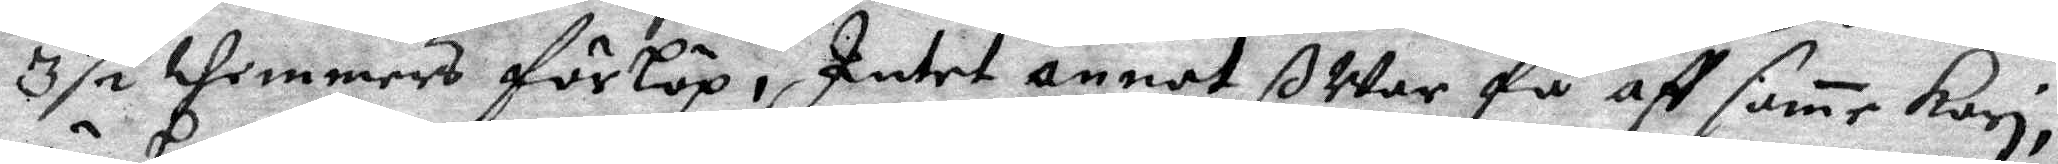3½ themmers förlöp, Intet annat ßWar få aff same Kari,
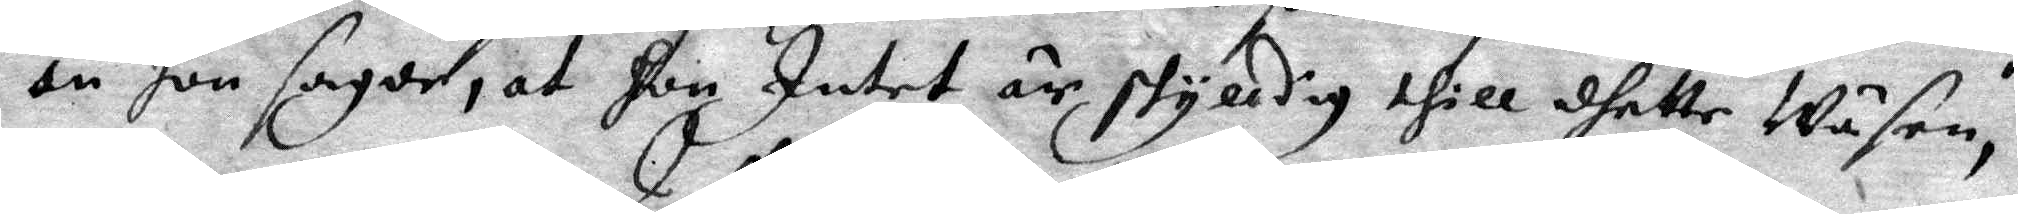än hon sagde, at Hon Intet är skyldig thill dhette Wäsen,
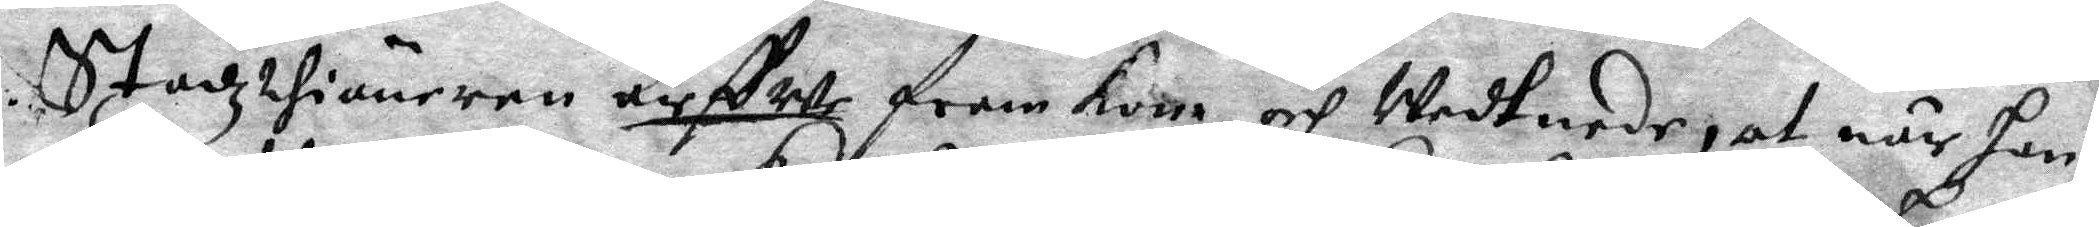Stadzthiäneren Arffwe fram kom och Wedtnade, at när Han
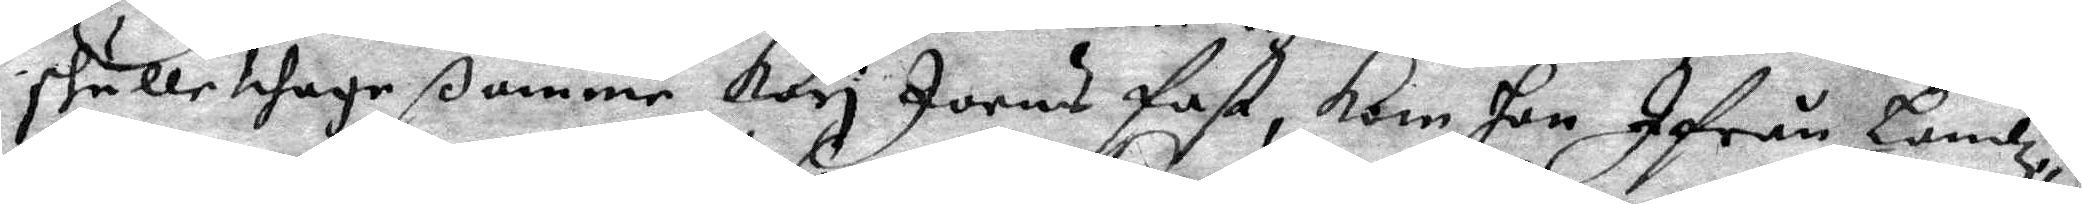skulle thaga ßamme Kari Joens fast, kom Hon Ifrån Landz¬
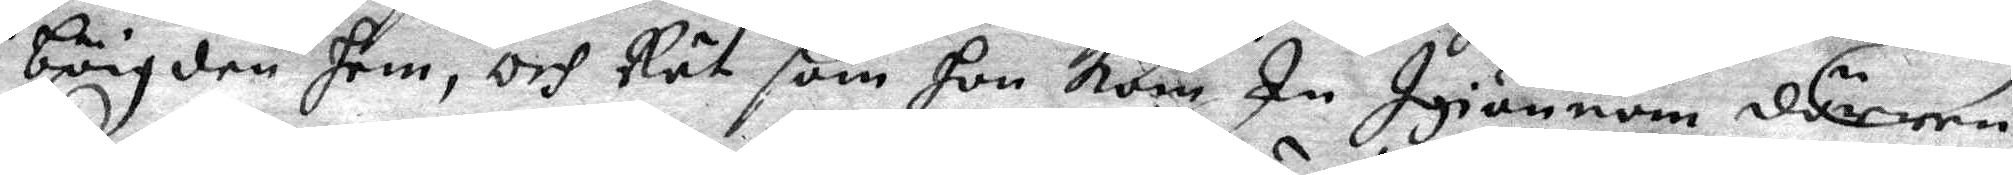böigden hem, och Rät som Hon kom In Igiänom dörren,
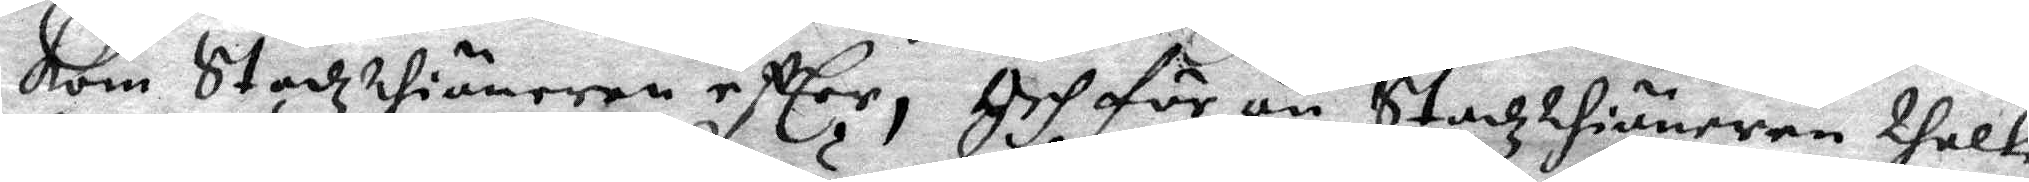kom Stadzthiäneren efter, Och för än Stadztiänaren thalte
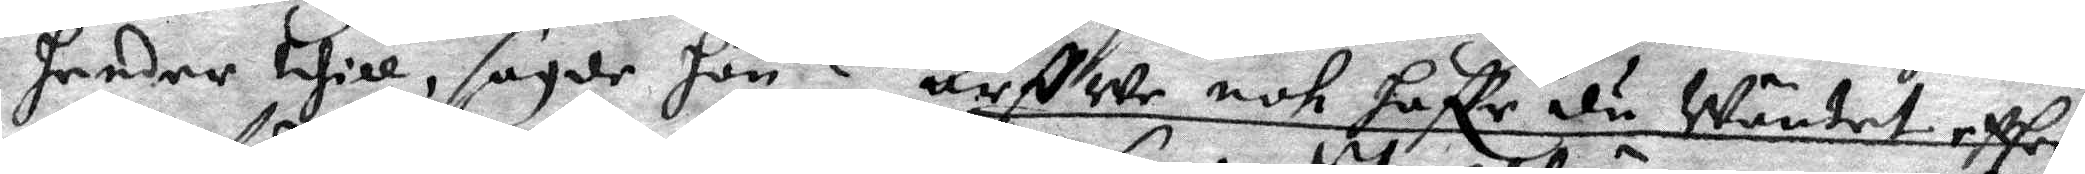hender thill, sagde Hon? Arffwe noh haffr du Wänten effter
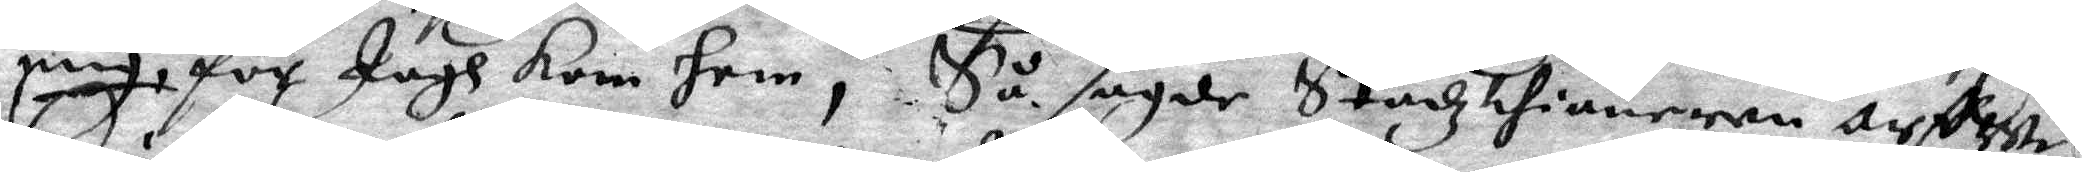mig, för Jagh kom hen, Så sagde Stadzthiänaren arffwe
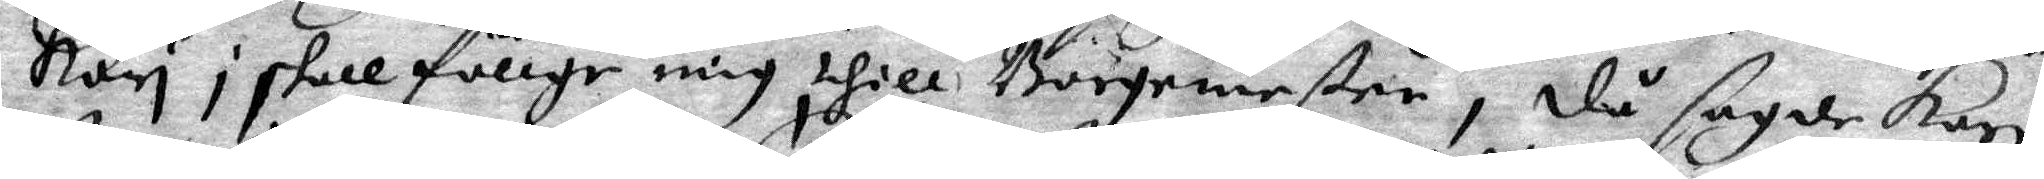Kari i skall föllge mig thill Borgmester, då sagde Kari
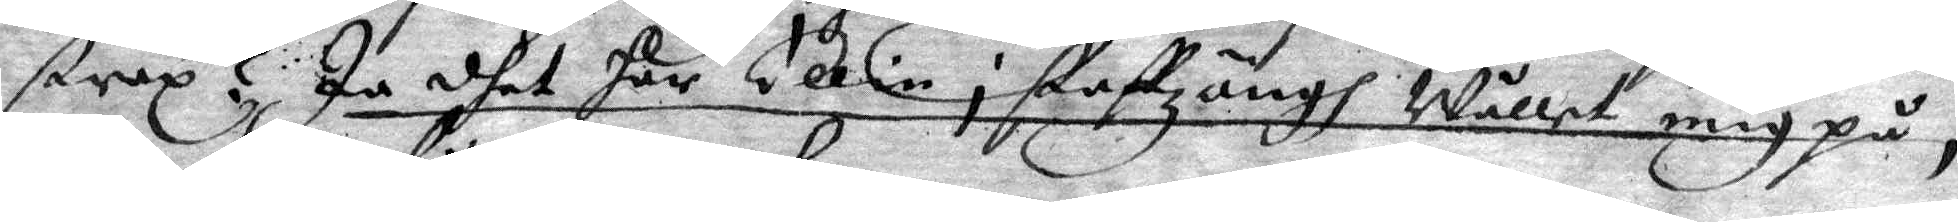strax? Ja dhet har Ellin i Staffzängh Wållat mig på,
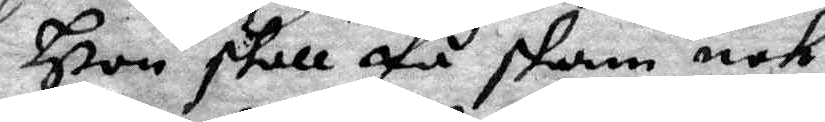Hon skall få skam noh,
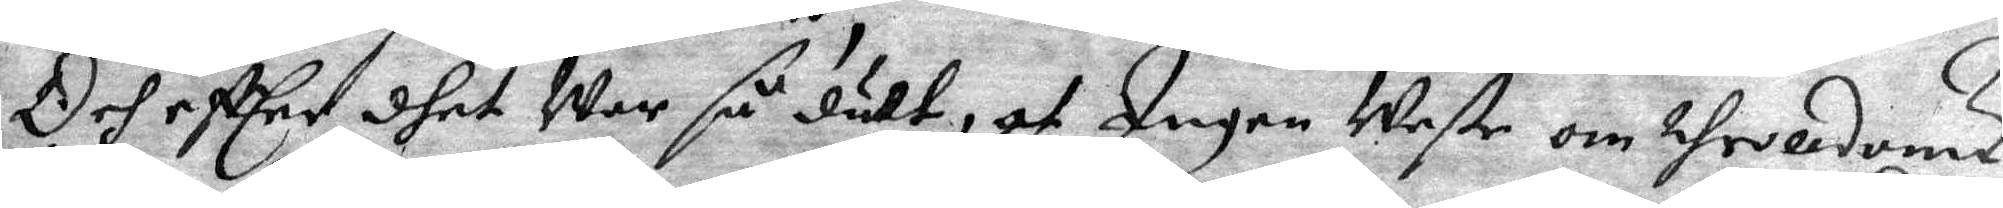Och efter dhet War så dult, at Ingen Weste om throldomz¬
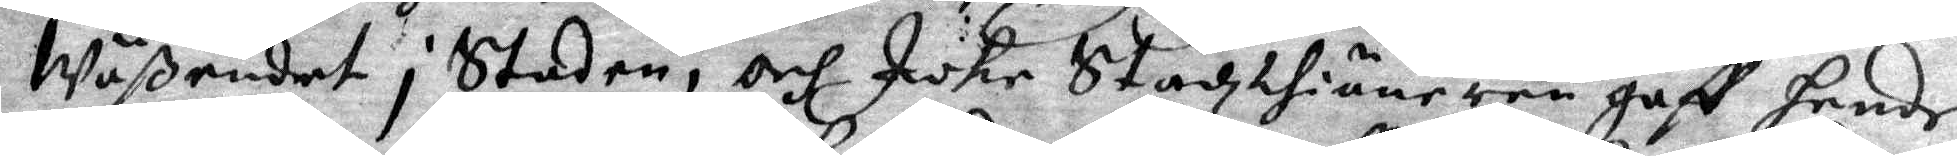Wäßendet i Staden, och Icke Stadzthiäneren gaff Hende
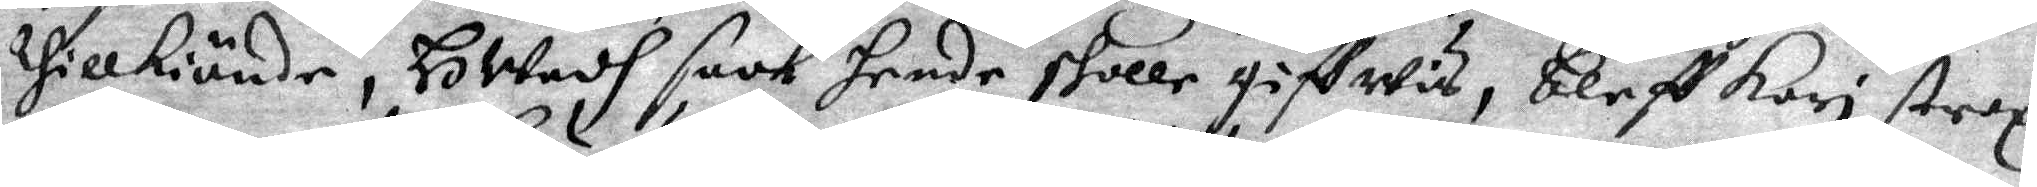thillkiände, HWadh saak Hende skolle giffwis, bleff Kari strax
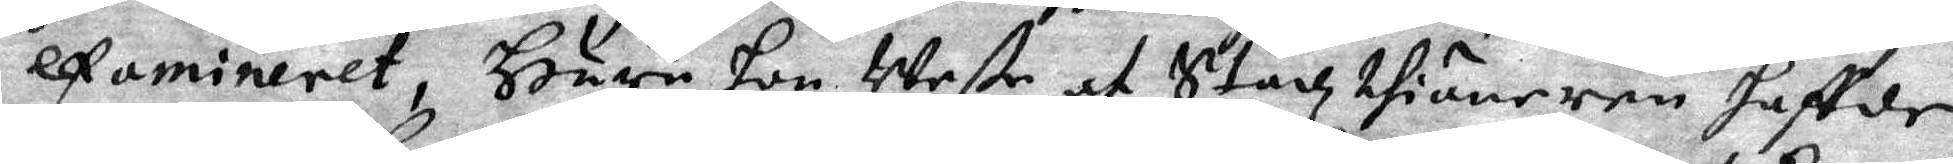examineret, Huru hon Weste at Stadzthiäneren haffde
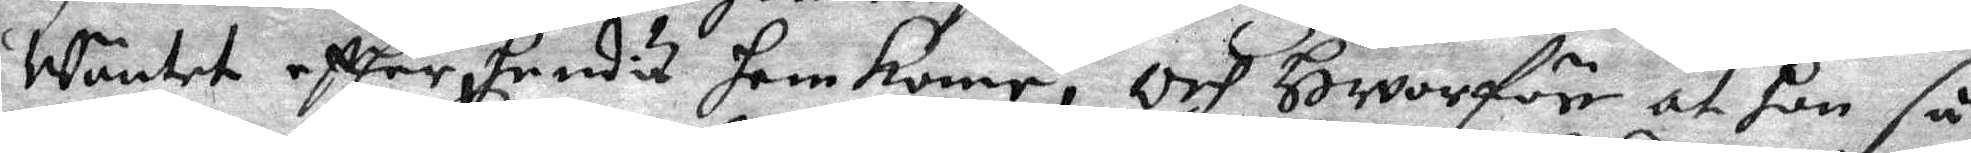Wäntet efter hendis hemkome, och Hwarföre at hon så
